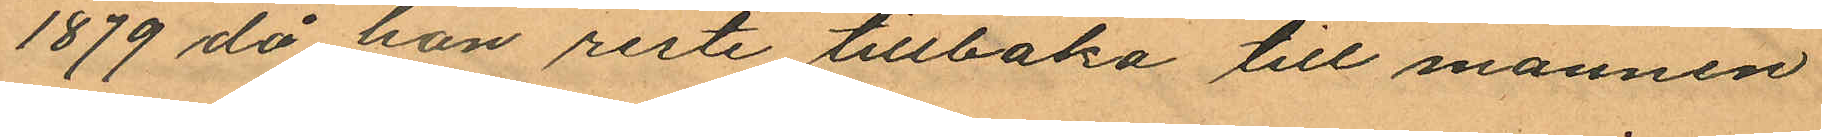1879 då hon reste tillbaka till mannen
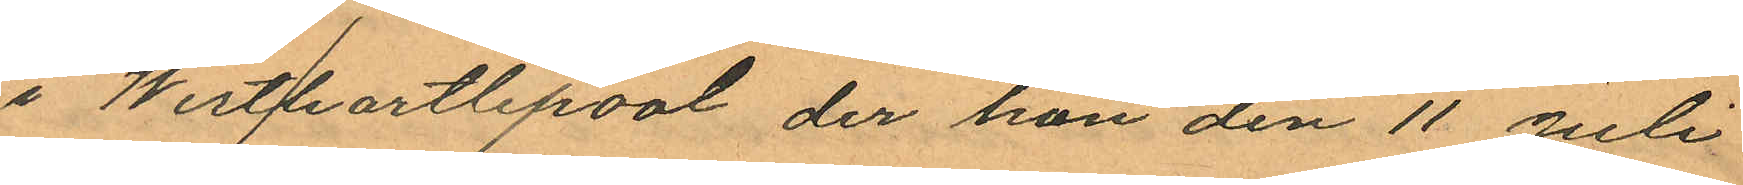i West/hartpool der hon den 11 Juli
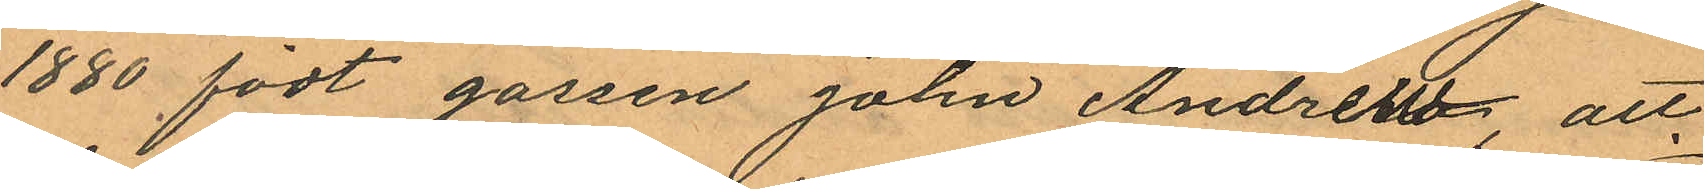1880 födt gossen John Andrew att
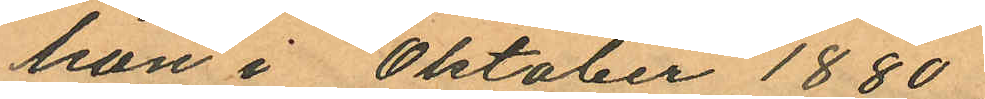hon i Oktober 1880
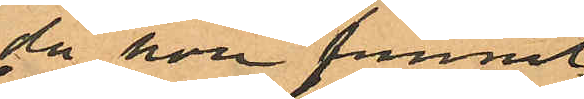då hon funnit
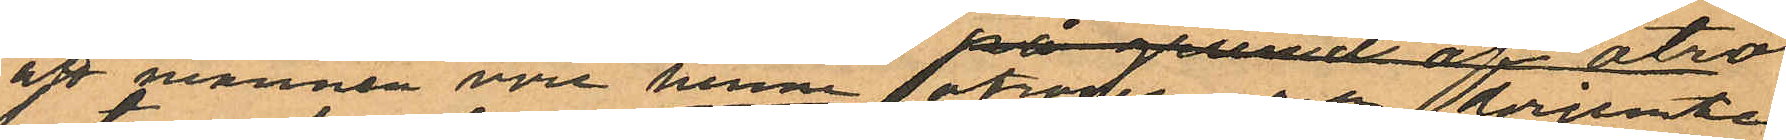att mannen vore henne otrogen och derjemte
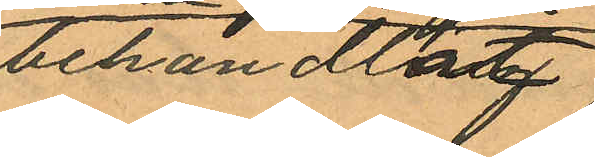behandlat
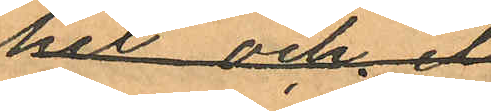henne illa,
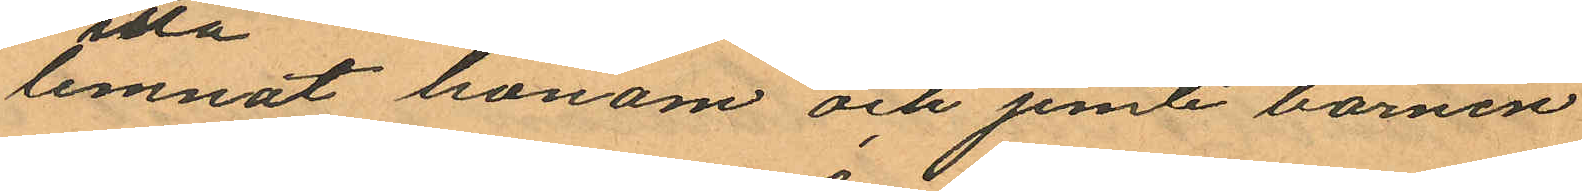lemnat honom och jemte barnen
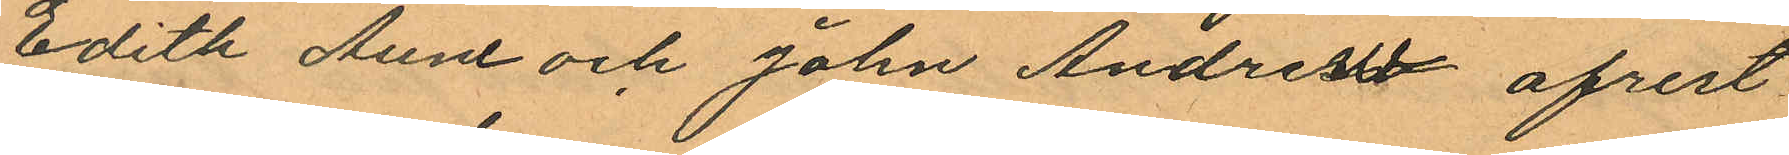Edith Anne och John Andrew afrest
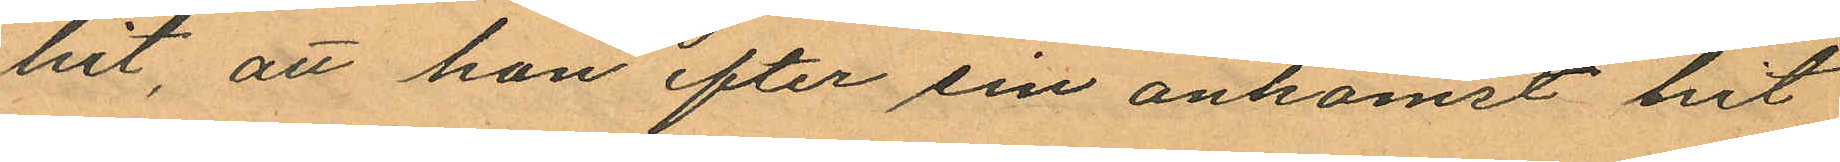hit, att hon efter sin ankomst hit
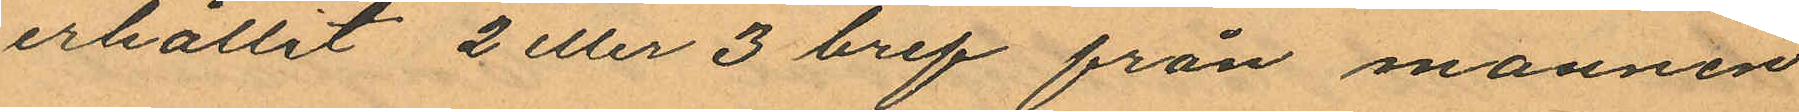erhållit 2 eller 3 bref från mannen
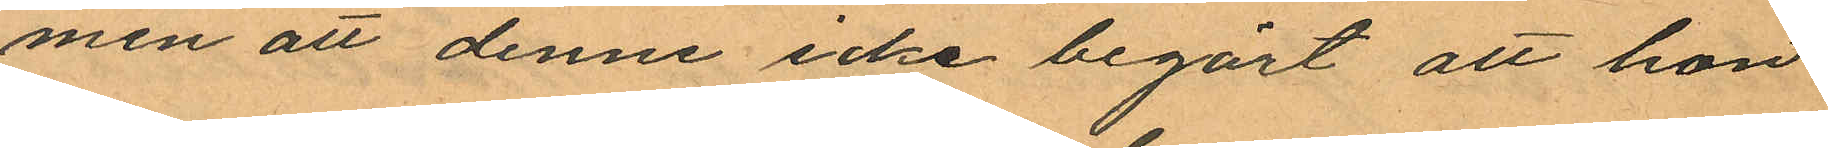men att denne icke begärt att hon
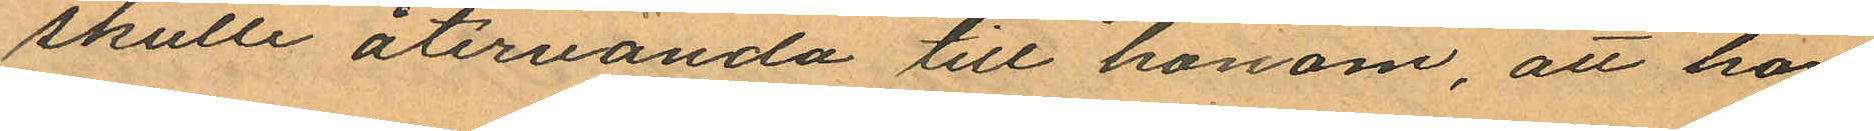skulle återvända till honom, att hon
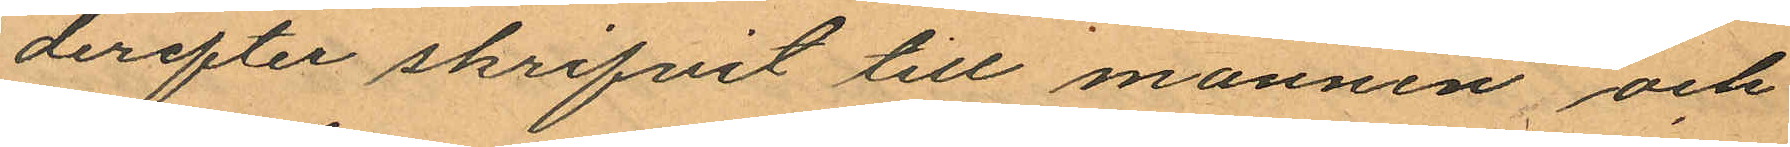derefter skrifvit till mannen och
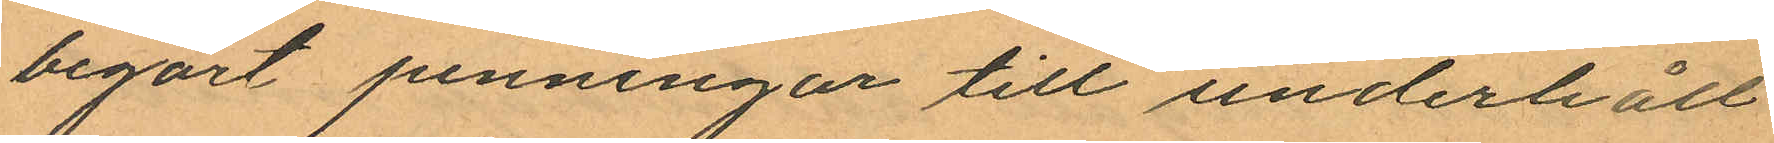begärt penningar till underhåll
